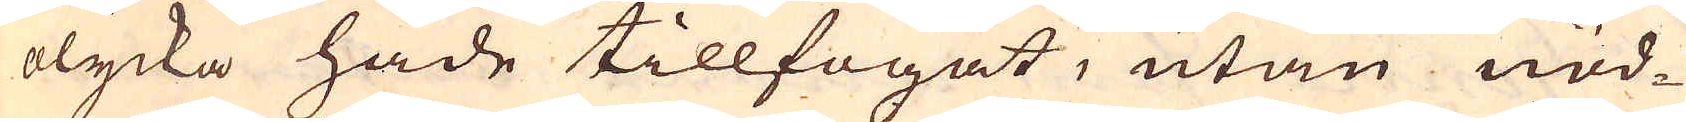olycka hade tillfogat, utan nöd-
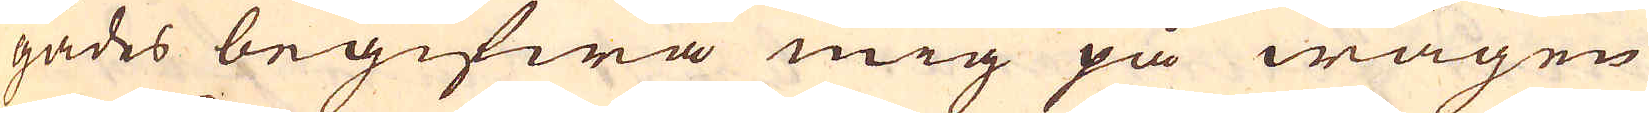gades begifwa mig på wägen
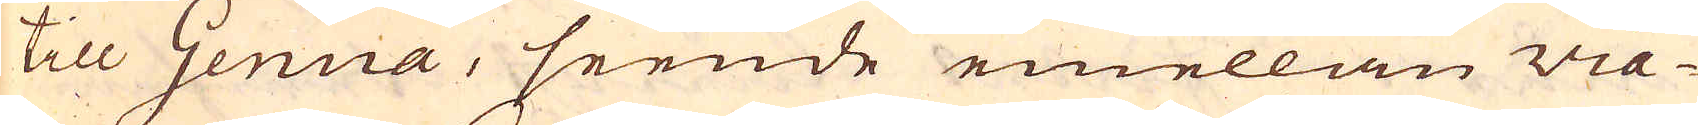till Genua, seende emellan Via-
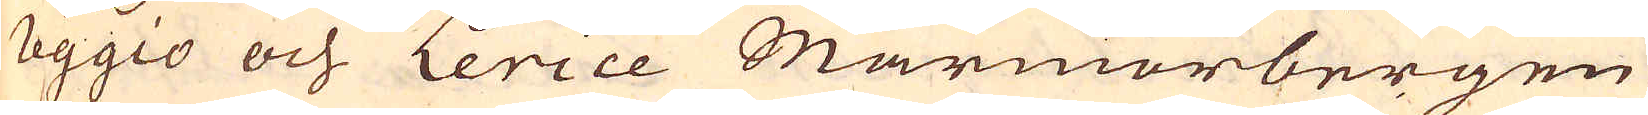reggio och Lerice Marmorbergen
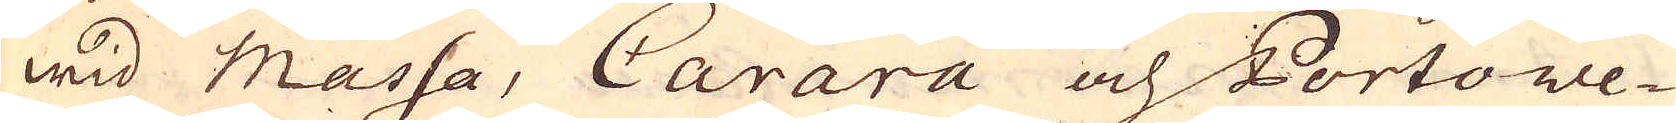wid Massa, Carara och Portowe-
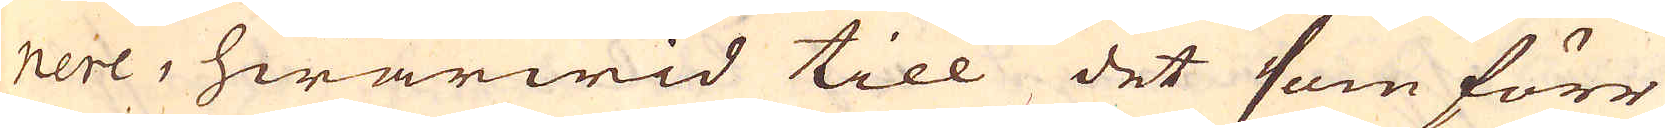nere, hwarwid till det som förr
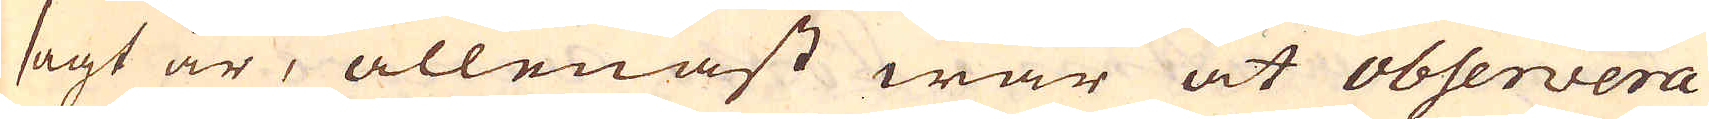sagt är, allenast war at observera
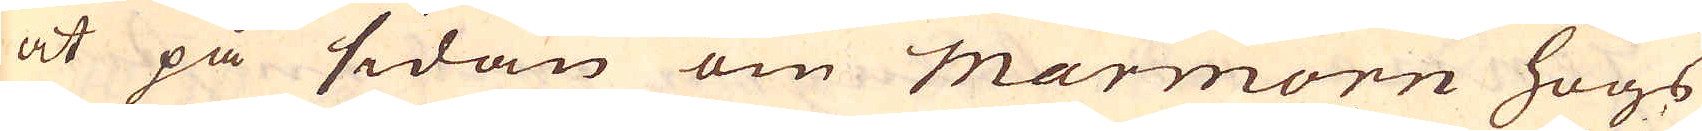at på sidan om marmorn högs
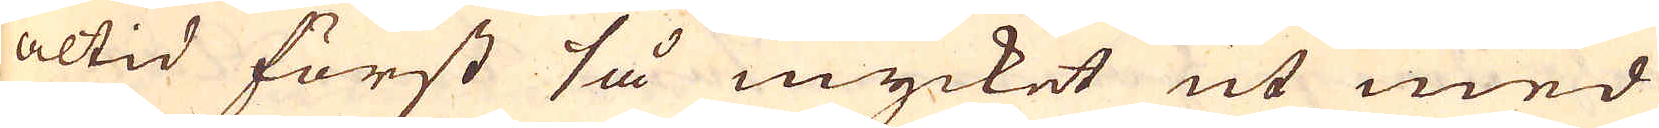altid först så mycket ut med
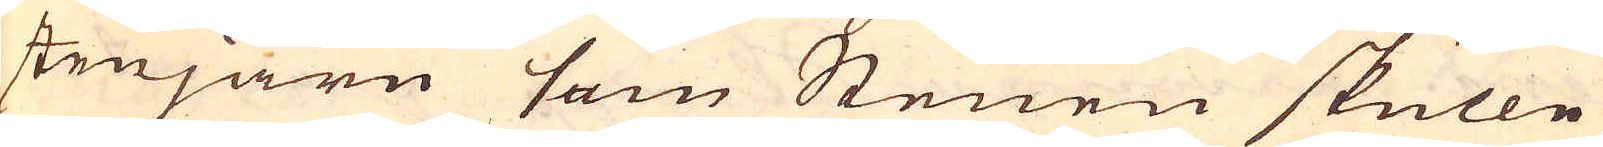stenjärn som Stenen skulle
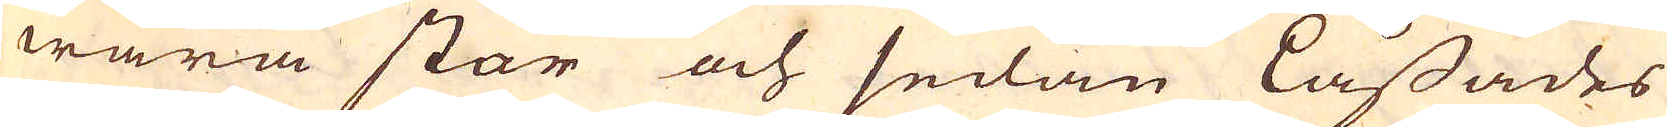wara stor och sedan Låssades
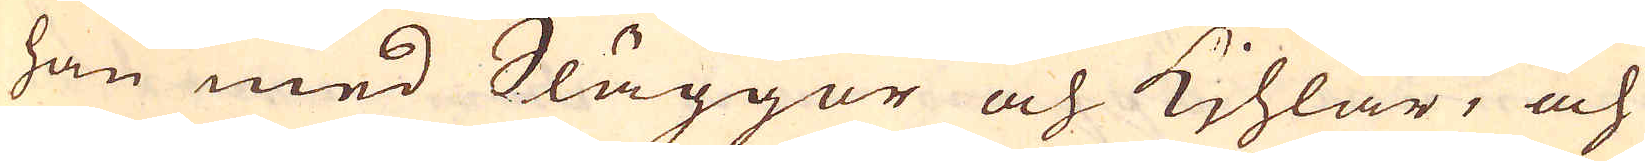han med Släggor och Kihlar, och
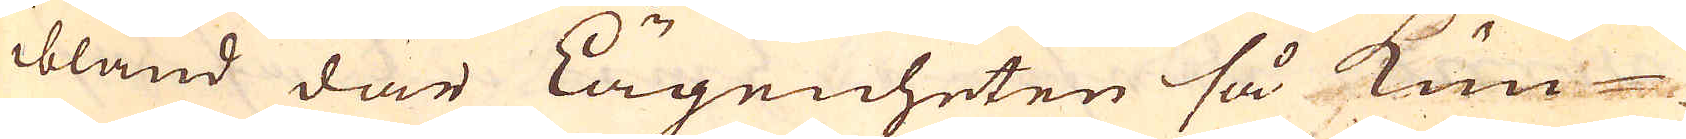ibland där Lägenheten så kun-
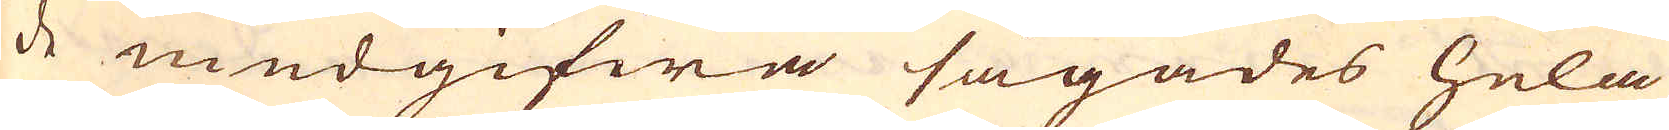de medgifwa sågades hela
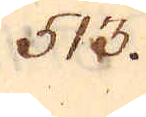513.
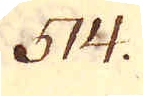514.
